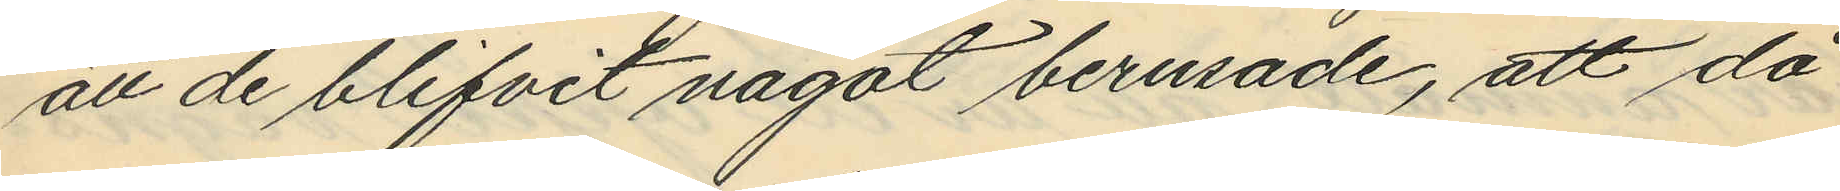att de blifvit något berusade, att då
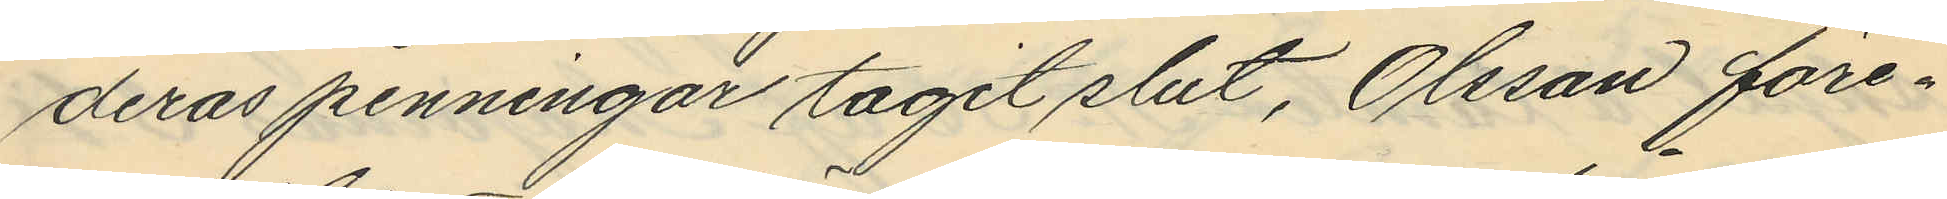deras penningar tagit slut, Olsson före¬
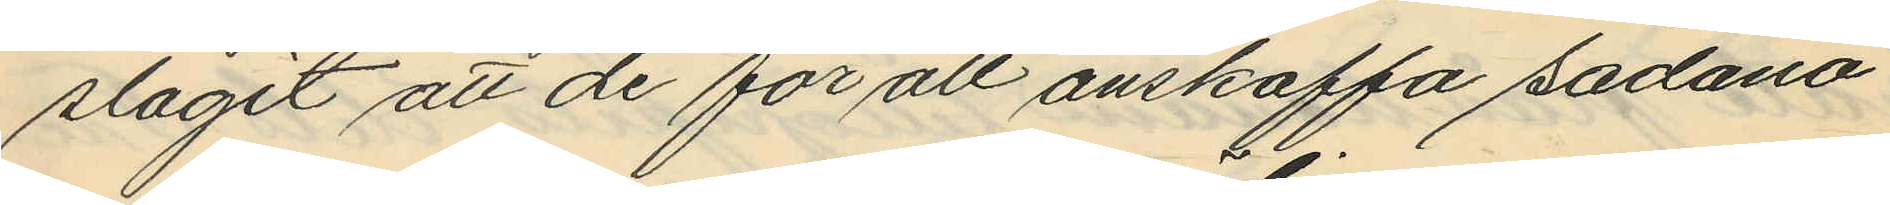slagit att de för att anskaffa sådana
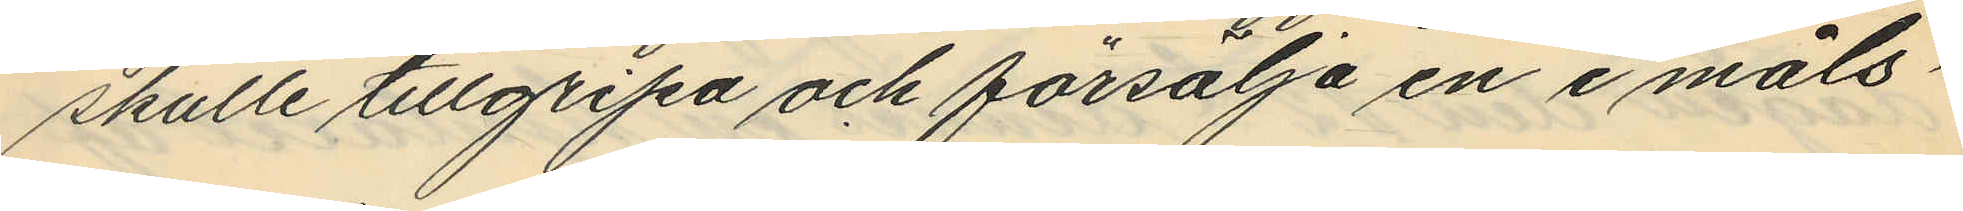skulle tillgripa och försälja en i måls¬
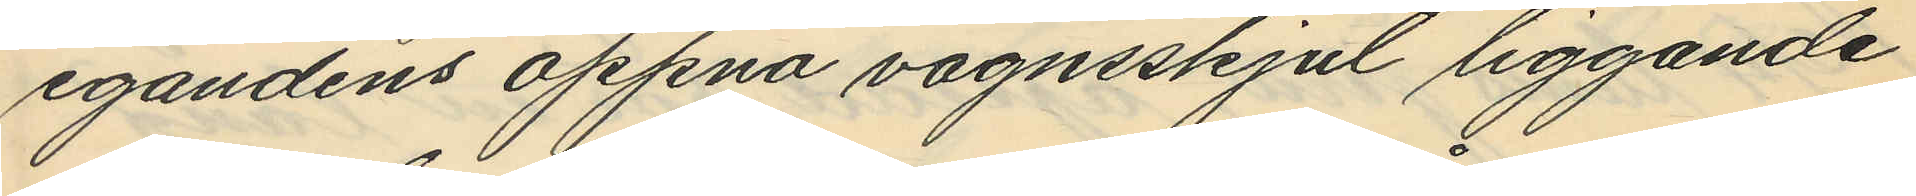egandens öppna vagnsskjul liggande
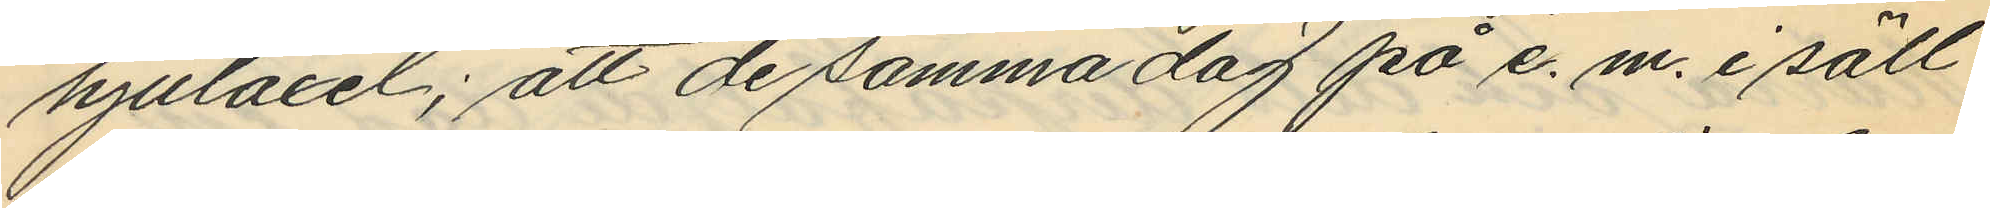hjulaxel; att de samma dag på e. m. i säll¬
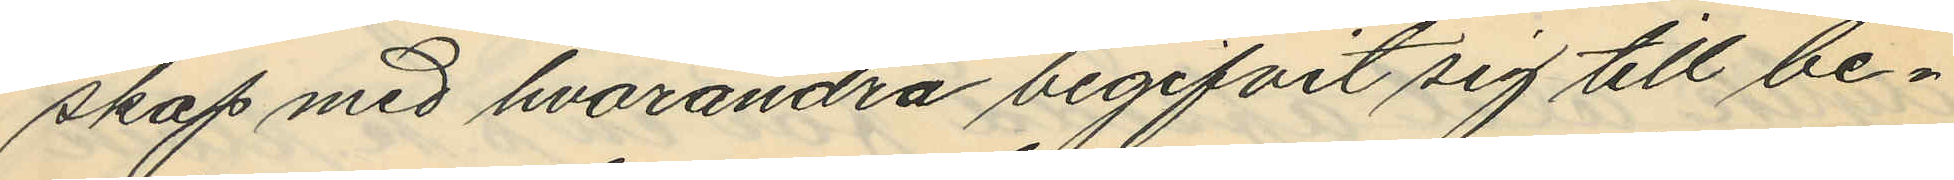skap med hvarandra begifvit sig till be¬
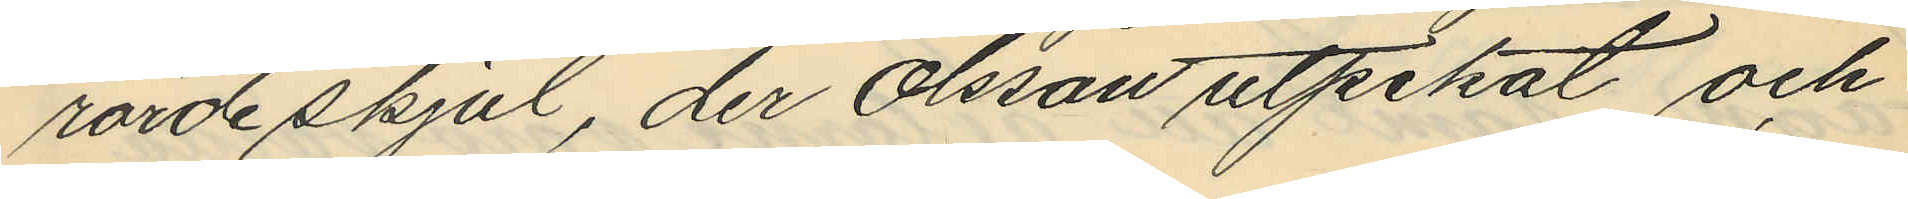rörde skjul, der Olsson utpekat och
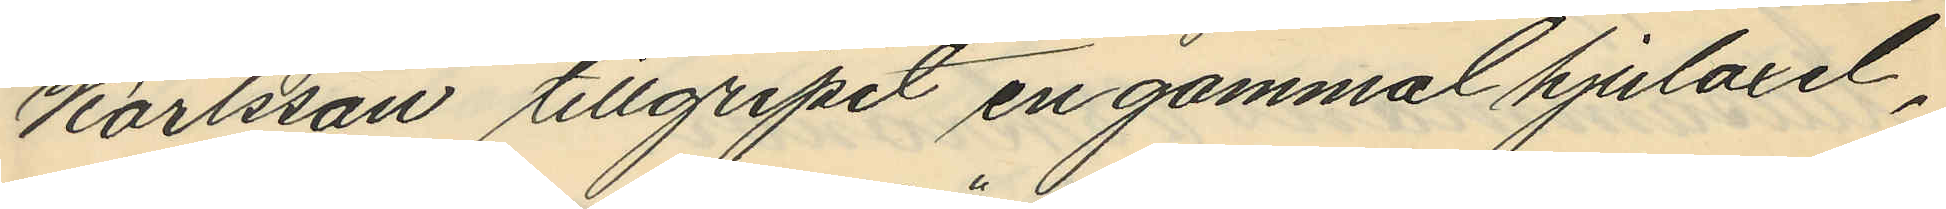Karlsson tillgripit en gammal hjulaxel,
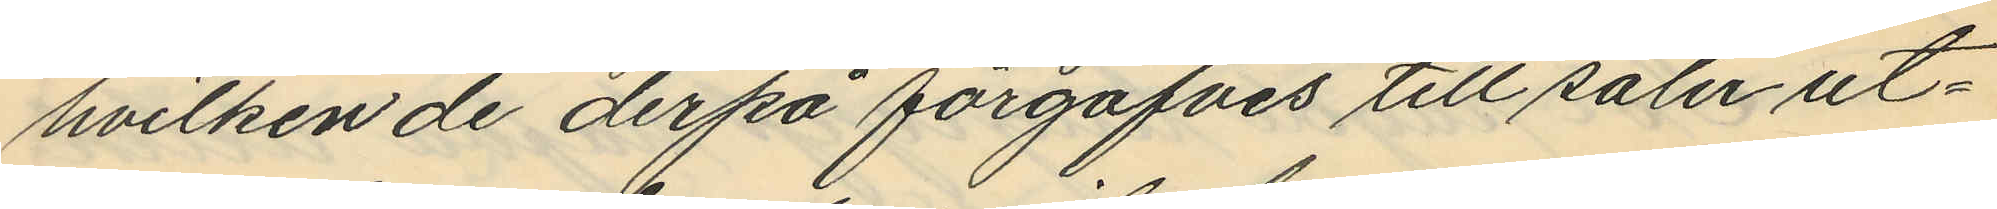hvilken de derpå förgäfves till salu ut¬
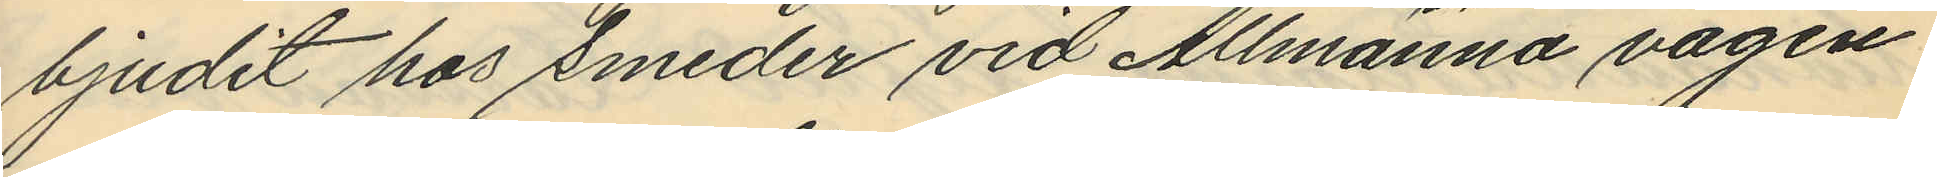bjudit hos smeder vid Allmänna vägen
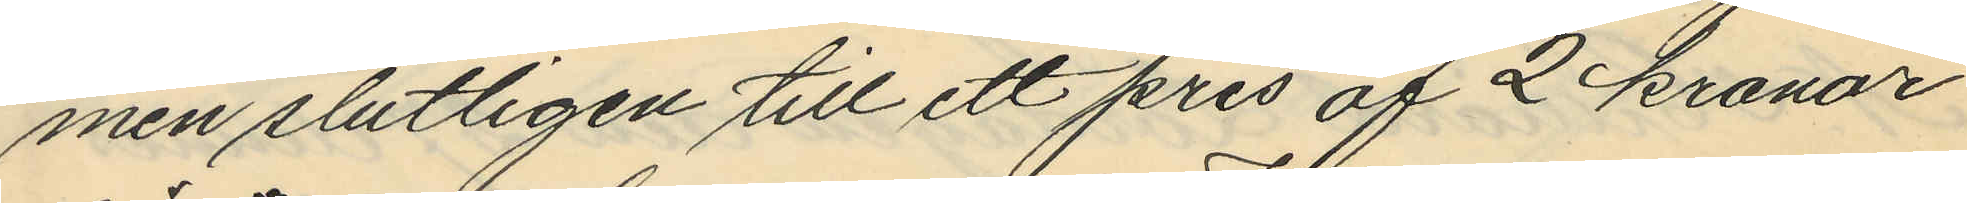men slutligen till ett pris af 2 kronor
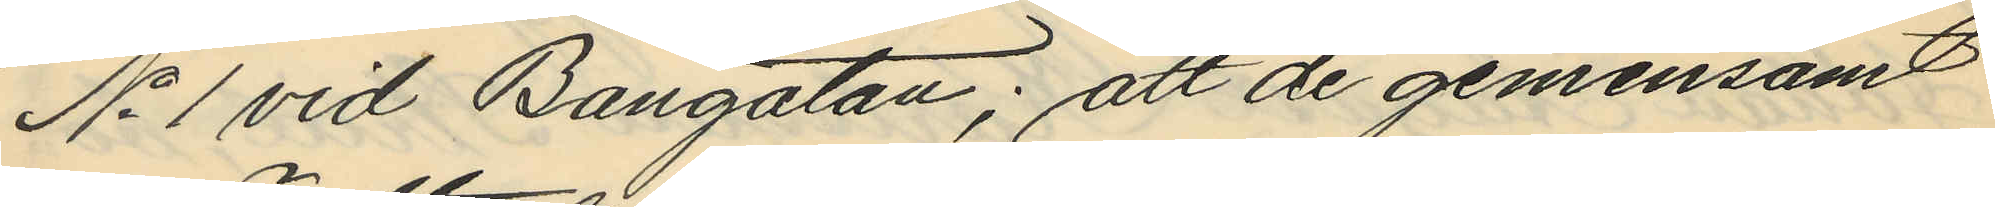No 1 vid Bangatan; att de gemensamt
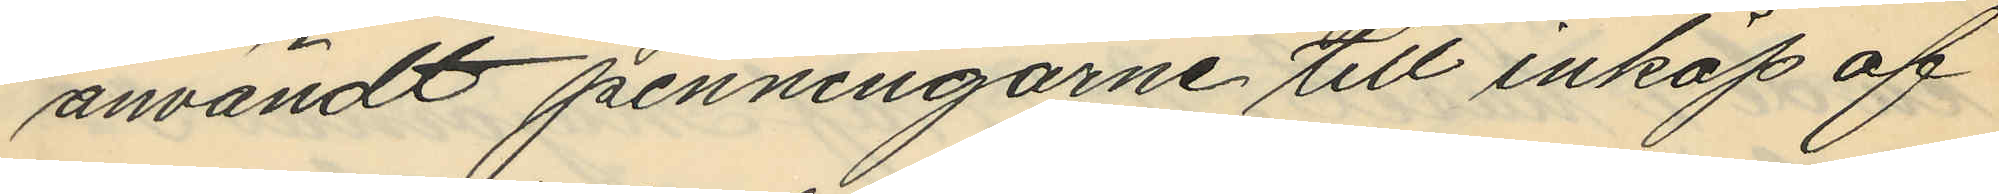användt penningarne till inköp af
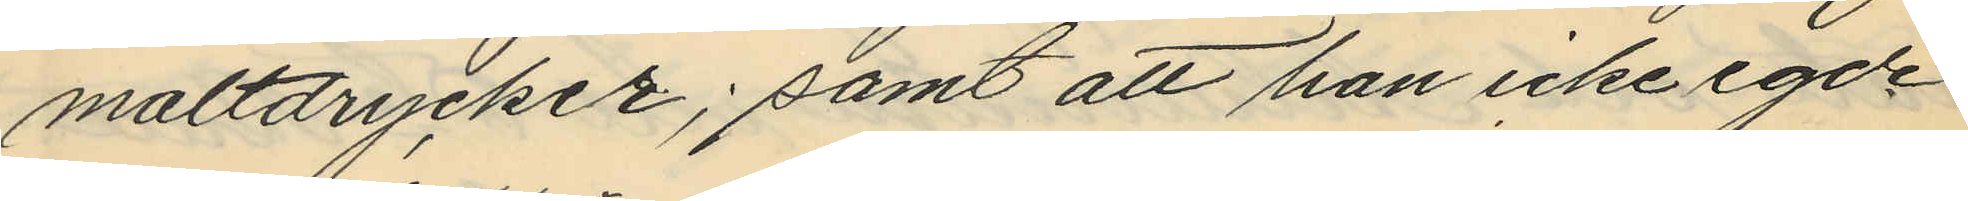maltdrycker; samt att han icke egde
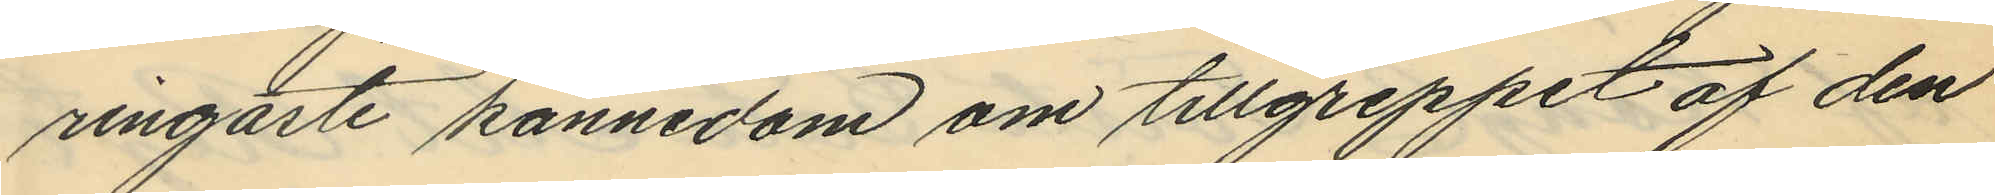ringaste kännedom om tillgreppet af den
